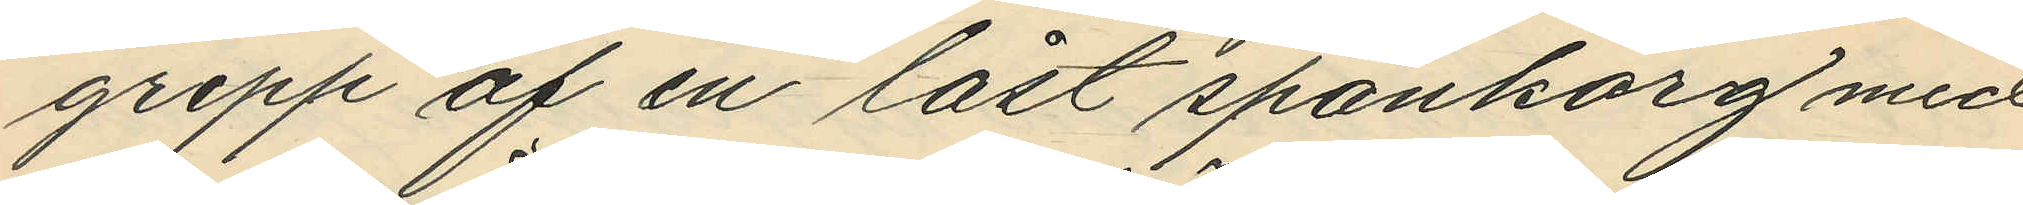grepp af en låst spånkorg med
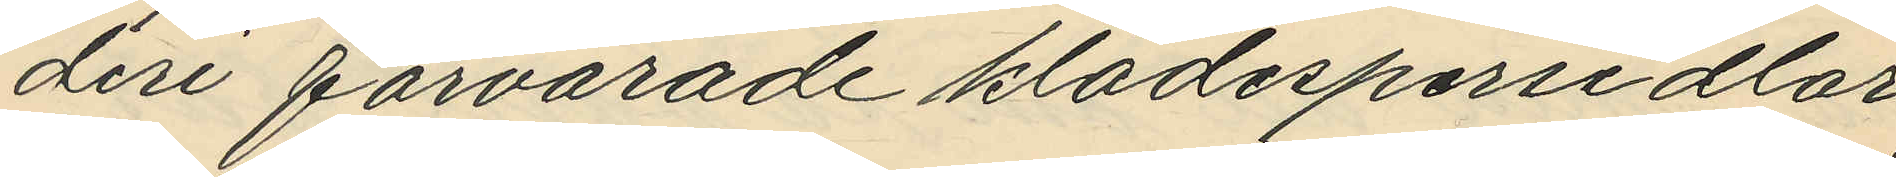deri förvarade klädespersedlar
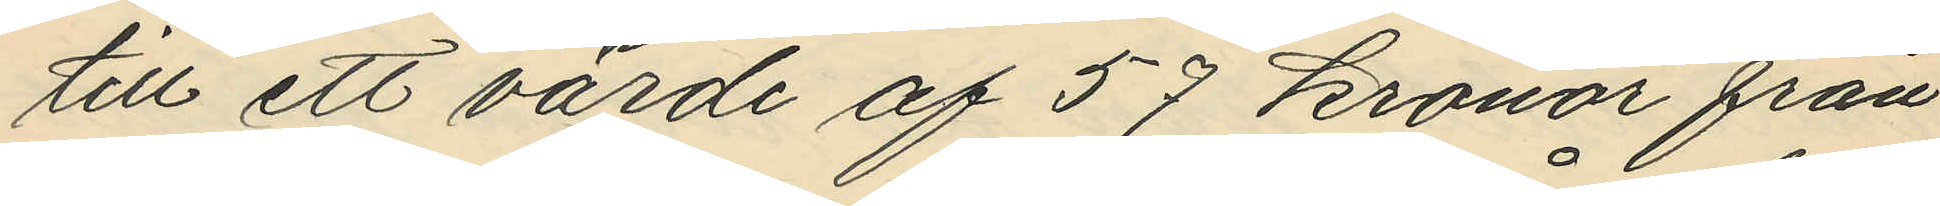till ett värde af 57 kronor från
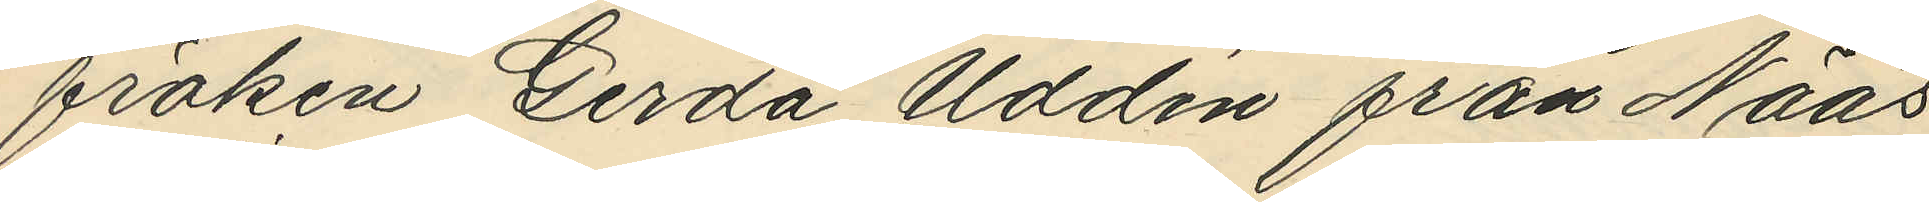fröken Gerda Uddén från Nääs
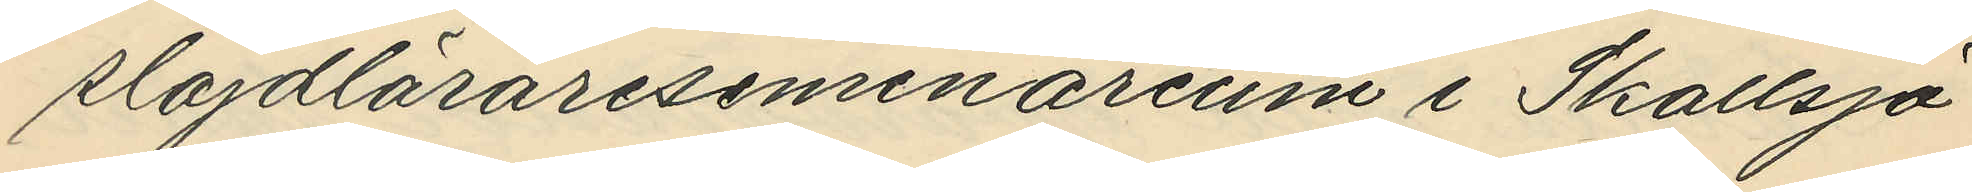slöjdläraresemenarium i Skallsjö
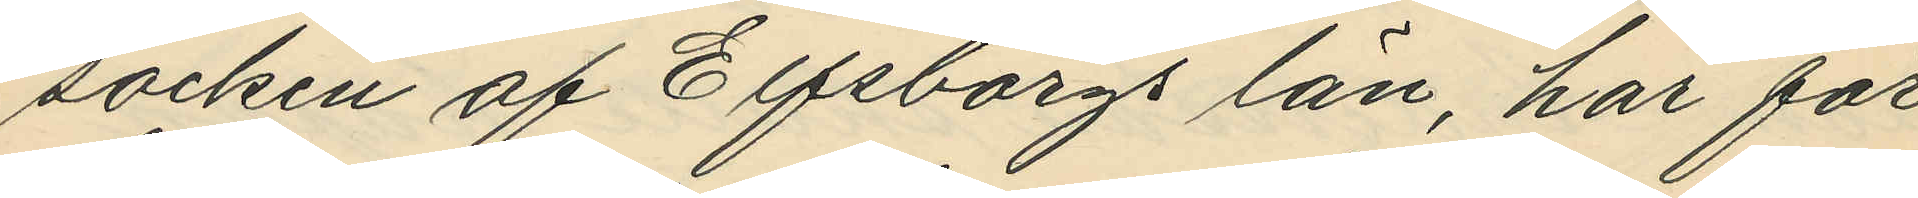socken af Elfsborgs län, har för
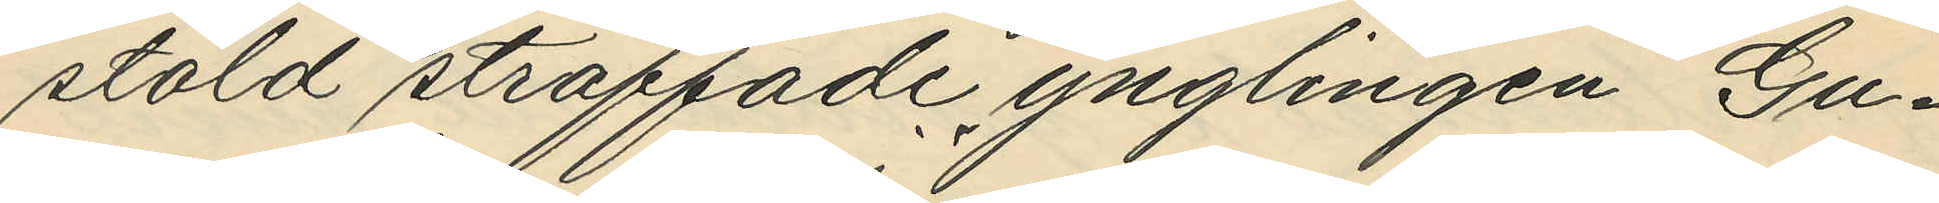stöld straffade ynglingen Gu¬
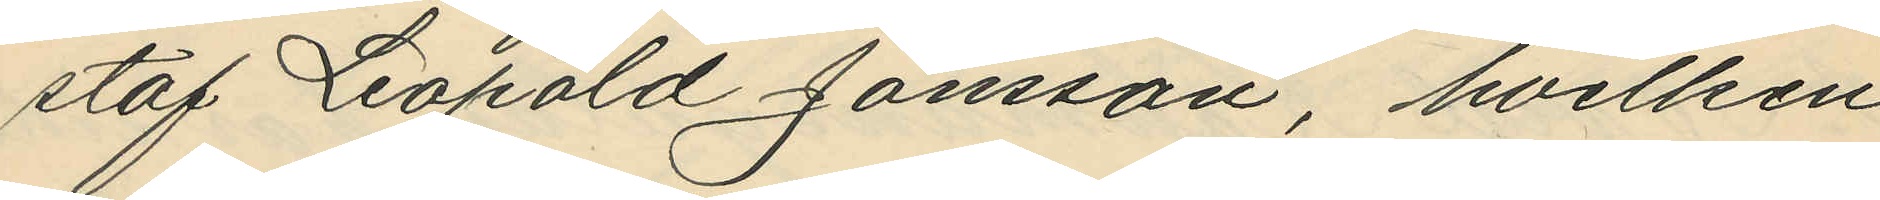staf Leopold Jönsson, hvilken
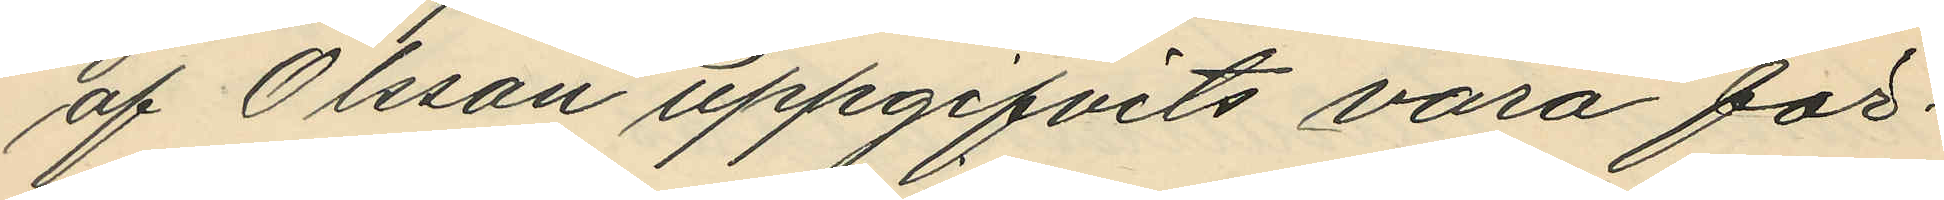af Olsson uppgifvits vara för¬
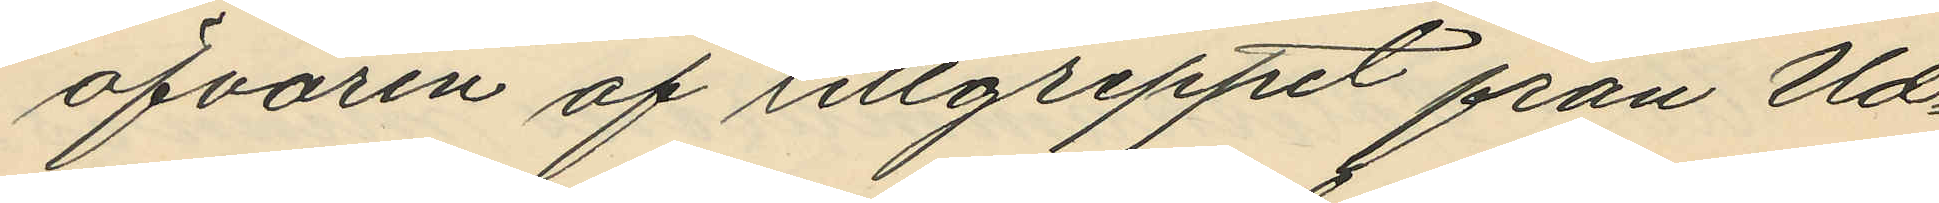öfvaren af tillgreppet fran Ud¬
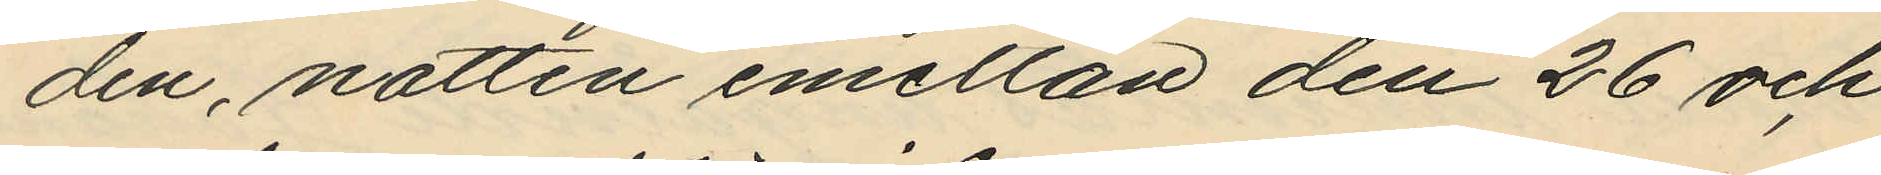den, natten emellan den 26 och
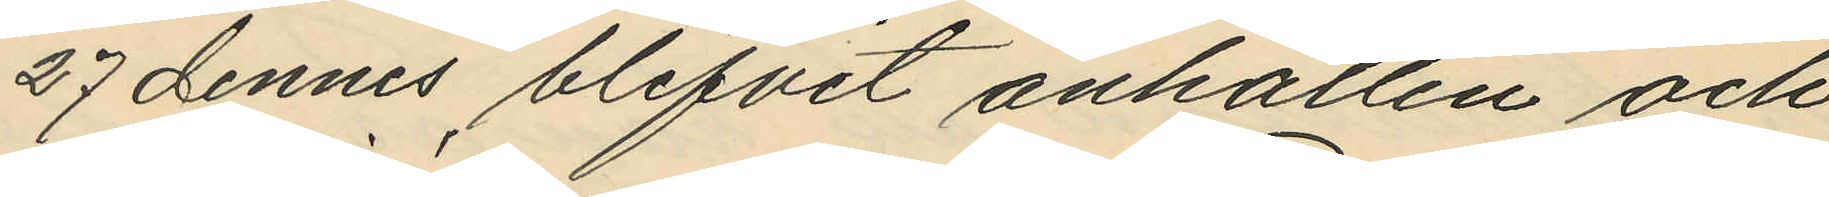27 dennes blifvit anhållen och
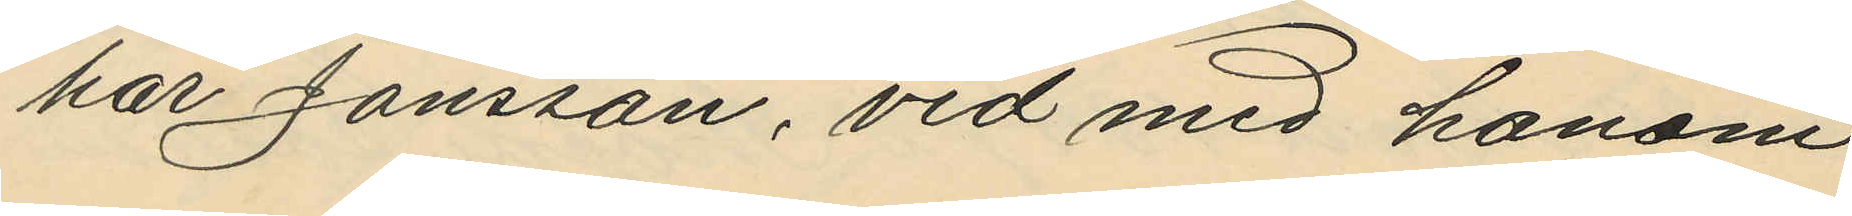har Jönsson, vid med honom
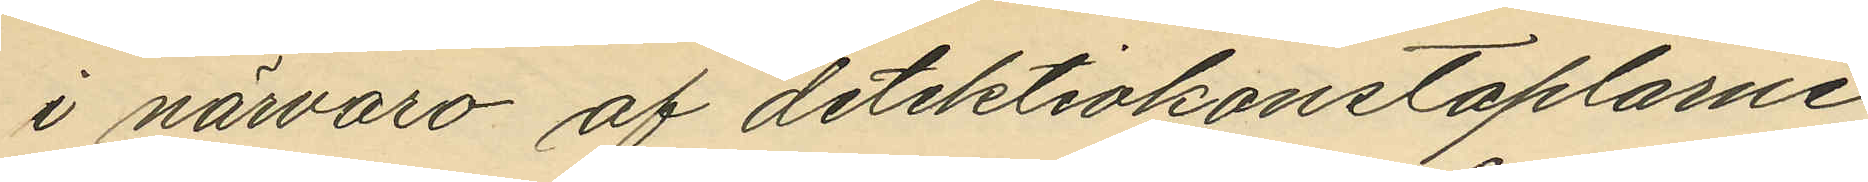i närvaro af detektivkonstaplarne
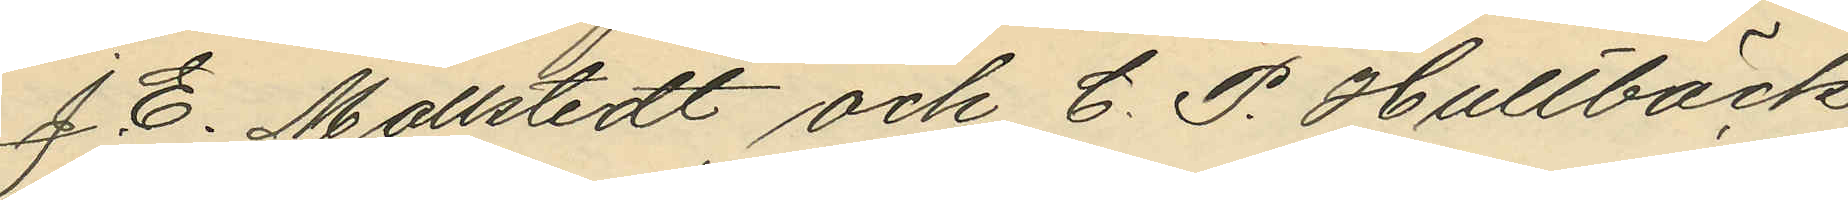J. E. Mollstedt och C. P. Hultbäck
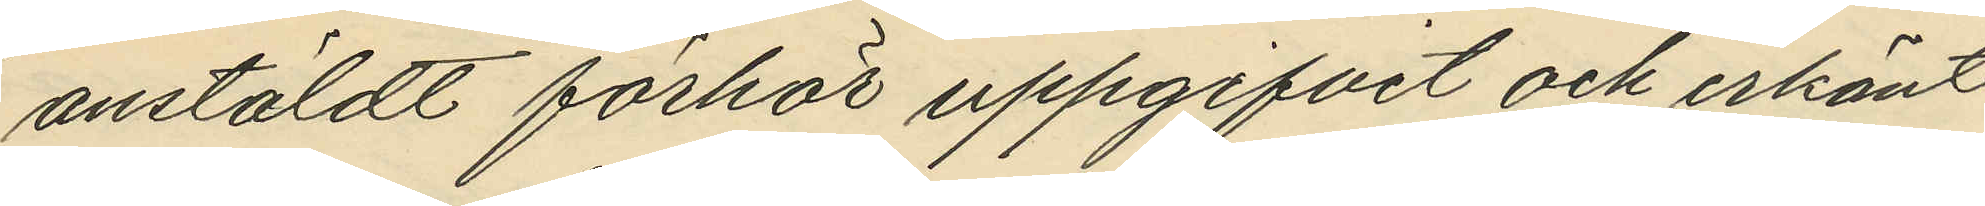anstäldt förhör uppgifvit och erkänt
